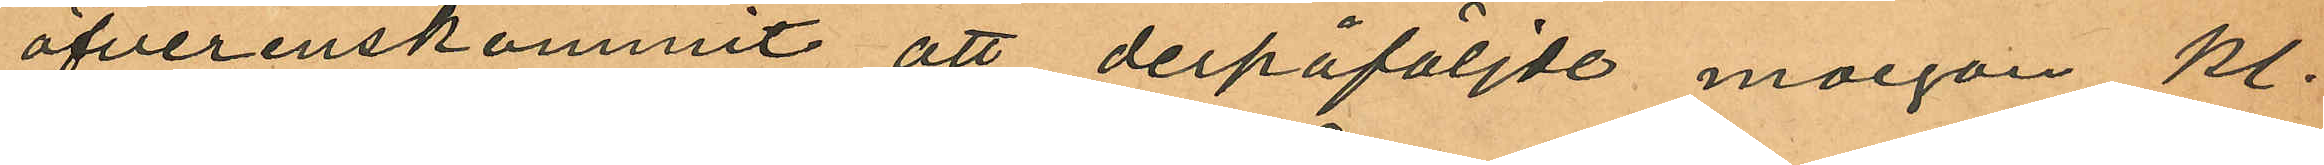öfverenskommit att derpåföljde morgon kl.
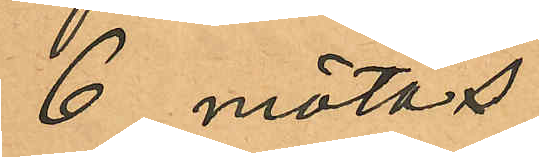6 mötas
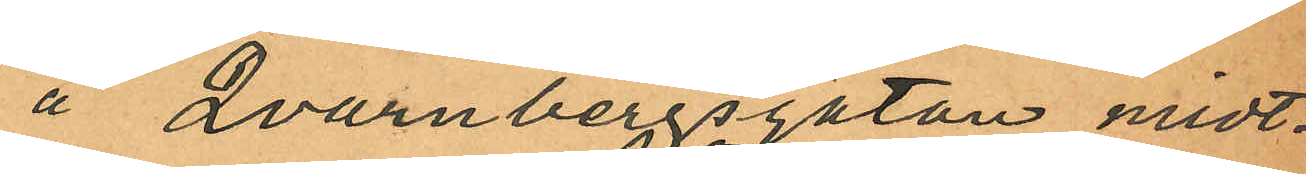å Qvarnbergsgatan midt¬
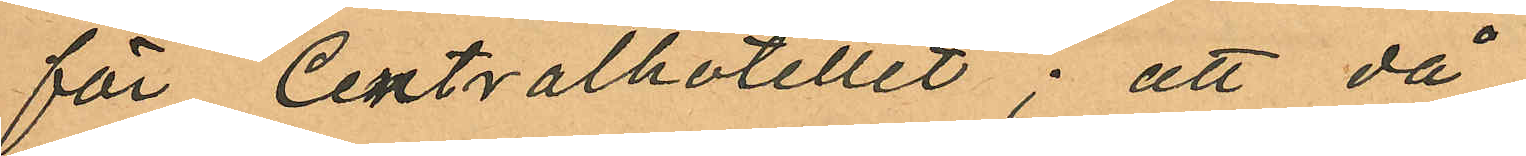för Centralhotellet; att då
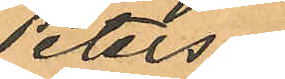Peters¬
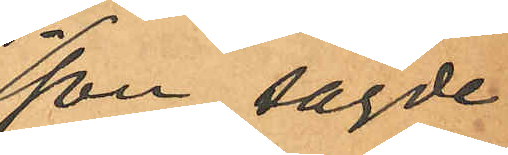son sagde
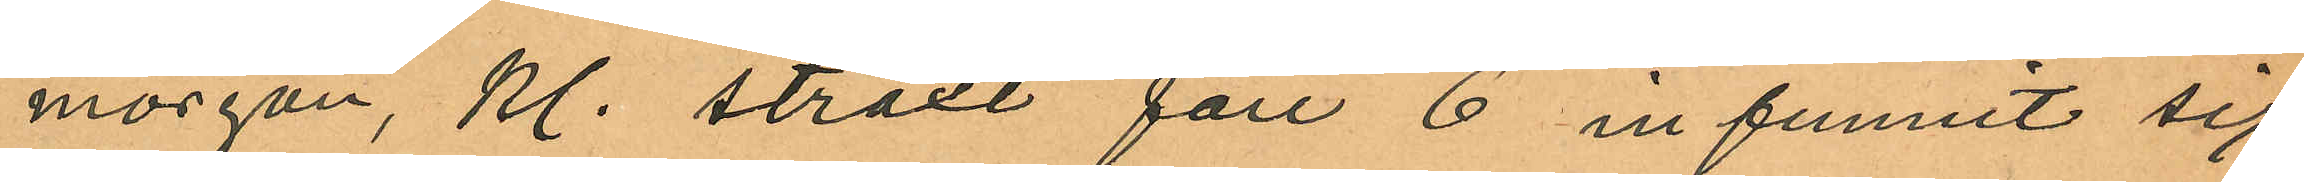morgon, kl. straxt före 6 infunnit sig
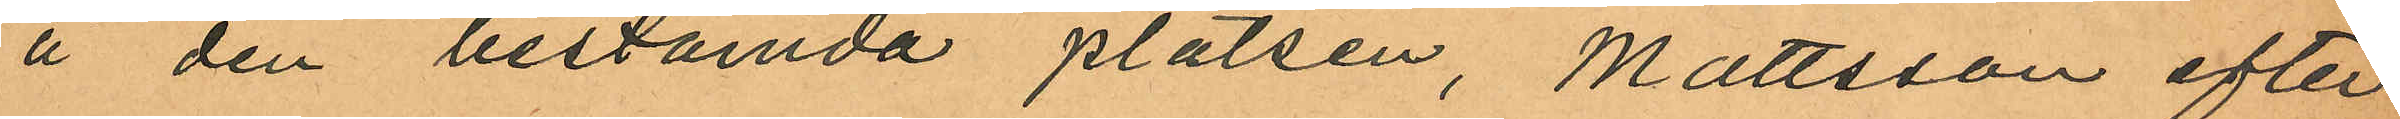å den bestämda platsen, Mattsson efter
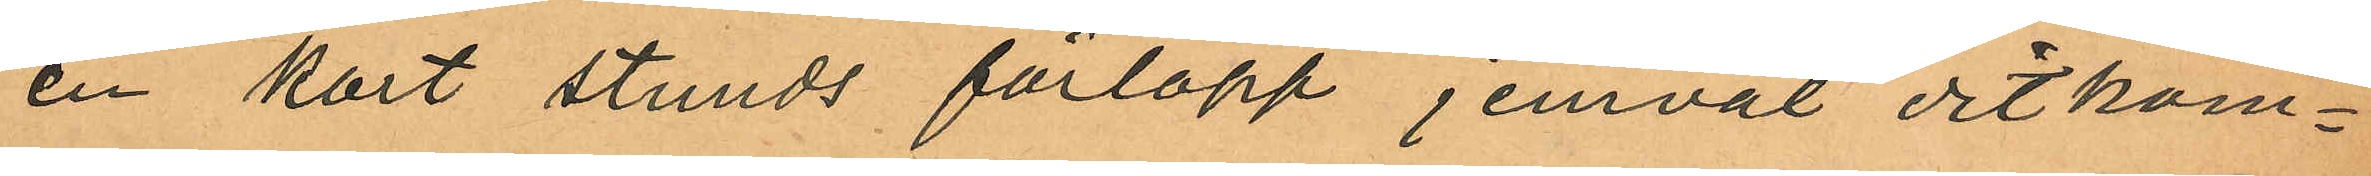en kort stunds förlopp jemväl ditkom¬
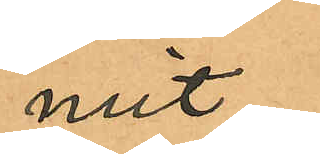mit,
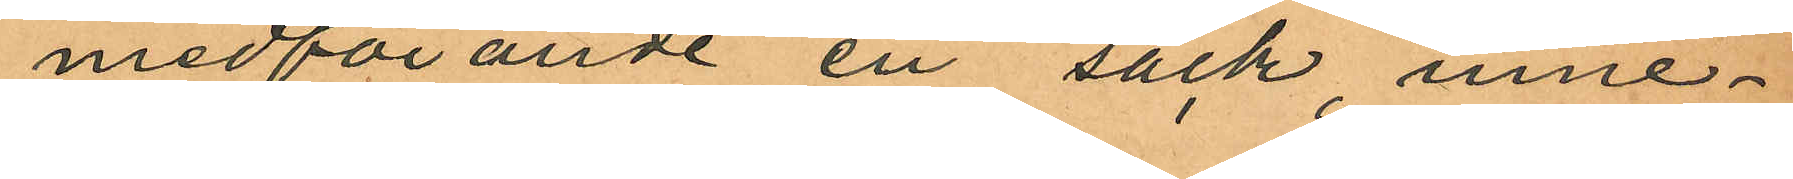medförande en säck, inne¬
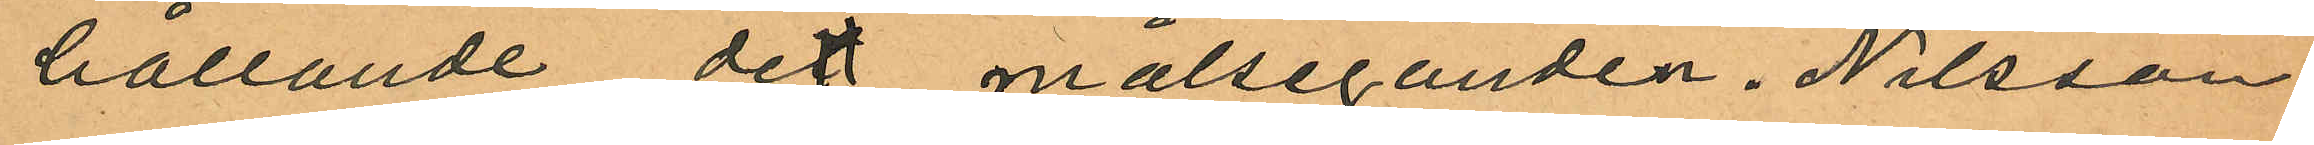hållande det målseganden. Nilsson
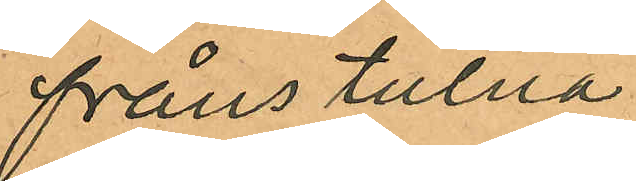frånstulna
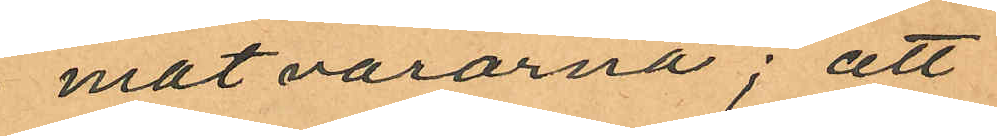matvarorna; att
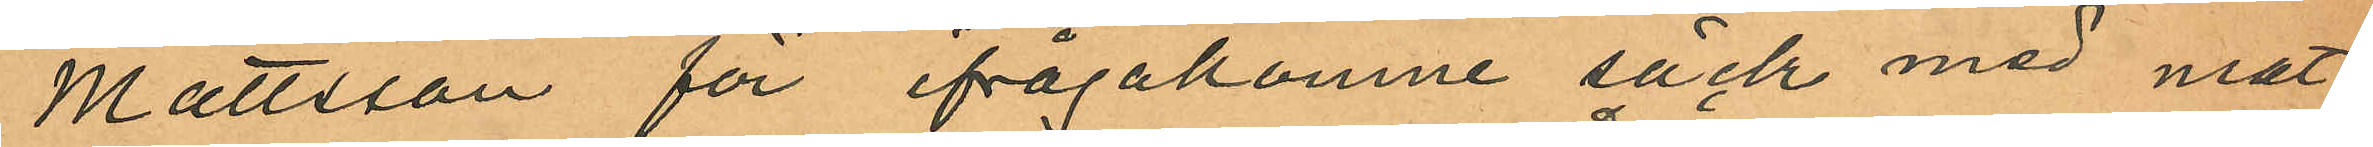Mattsson för ifrågakomne säck med mat¬
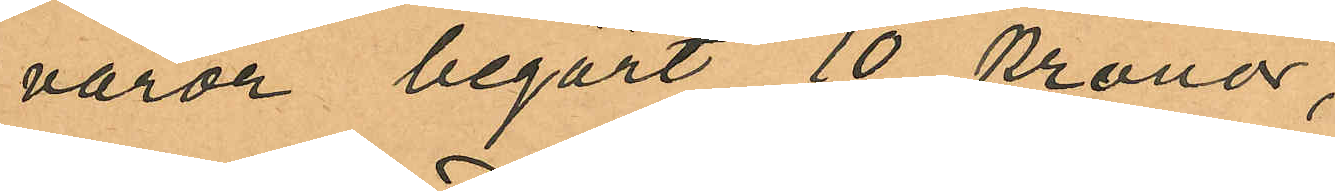varor begärt 10 Kronor,
